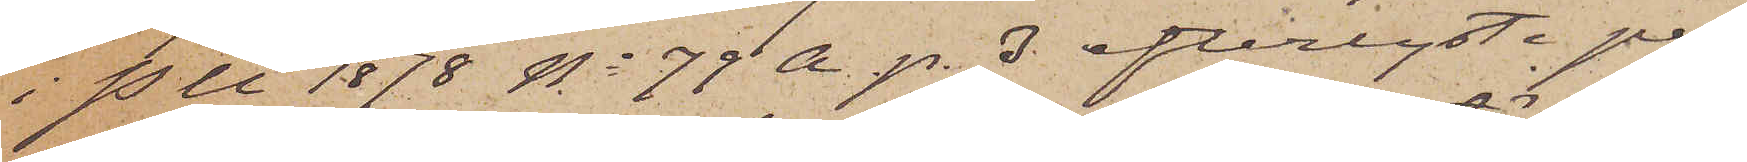i P U 1878 No 78 A p. 3 efterlyste per¬
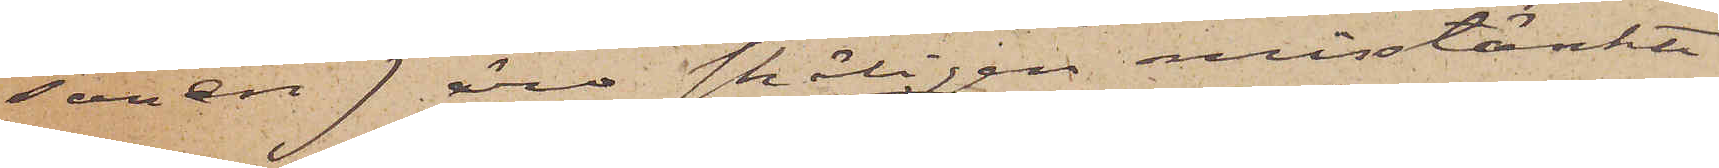sonen) äro skäligen misstänkte
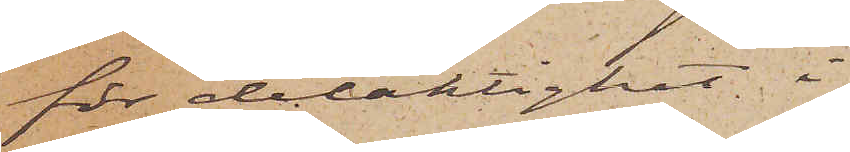för delaktighet i
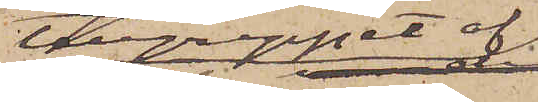tillgreppet af
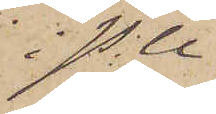i P U
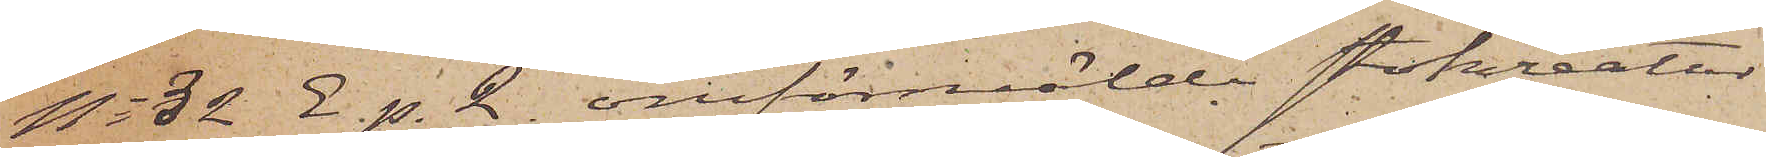No 32 E. p. 2 omförmälde stokreatur
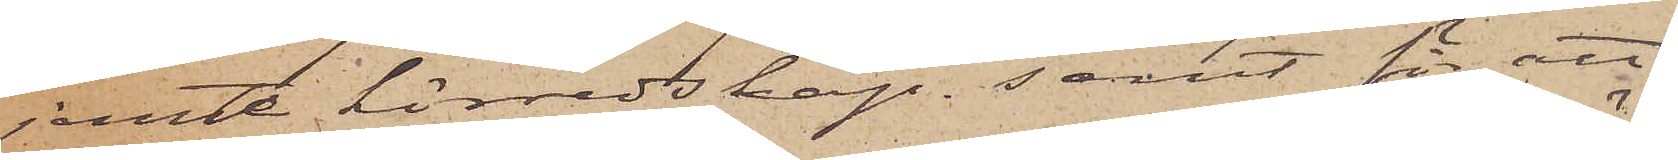jemte körredskap samt för att
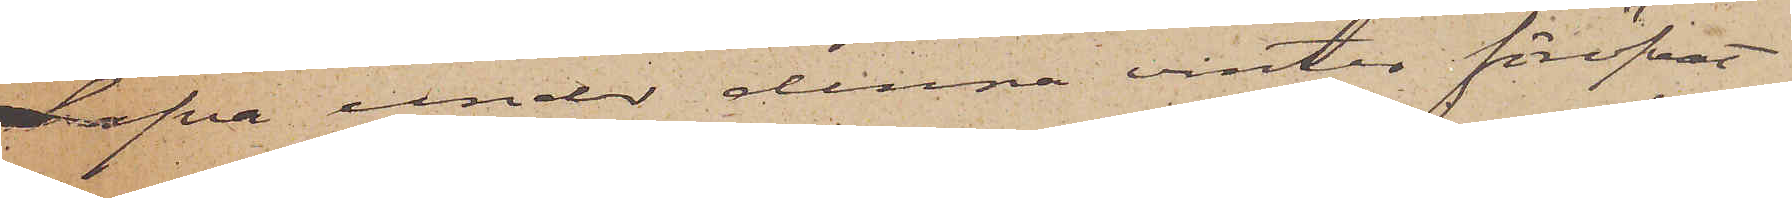hafva under denna vinter föröfvat
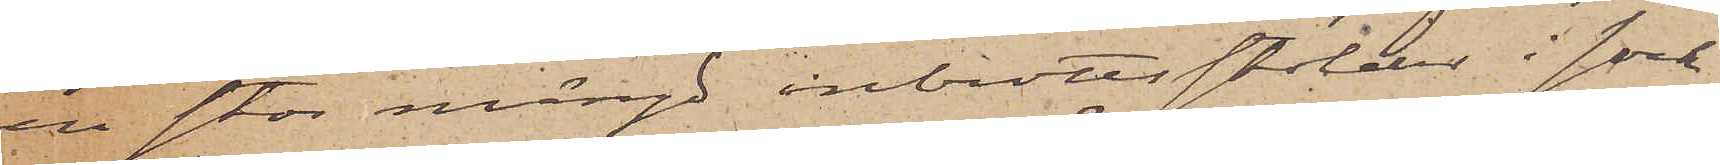en stor mängd inbrottsstölder i sock¬
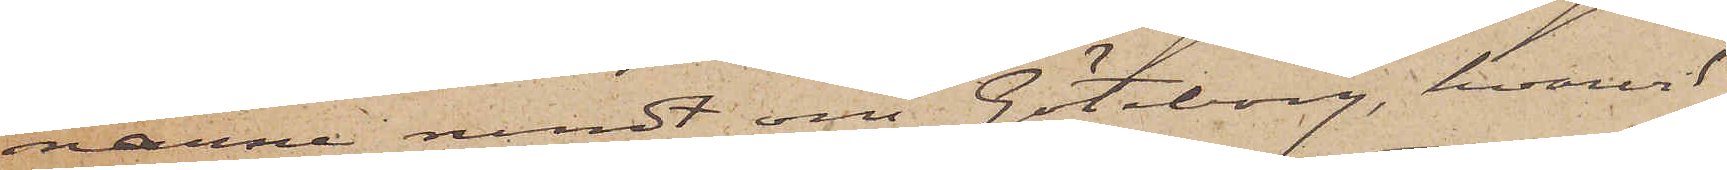narne rundt om Göteborg, hvarvid
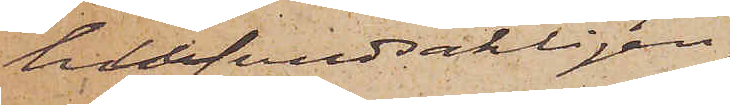hufvudsakligen
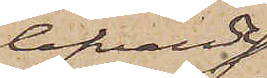lefvande
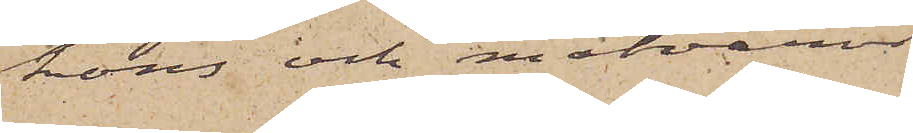höns och matvaror
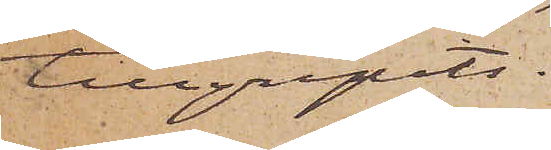tillgripits.
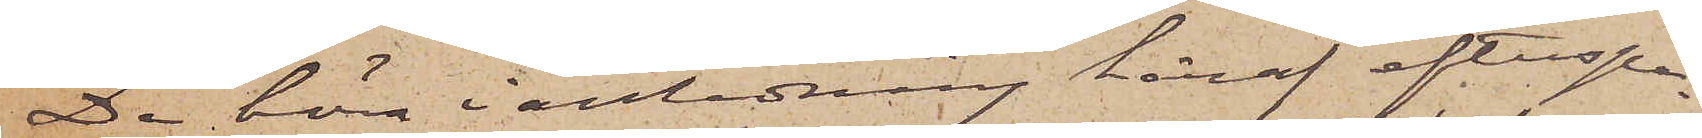De böra i anledning häraf efterspa¬
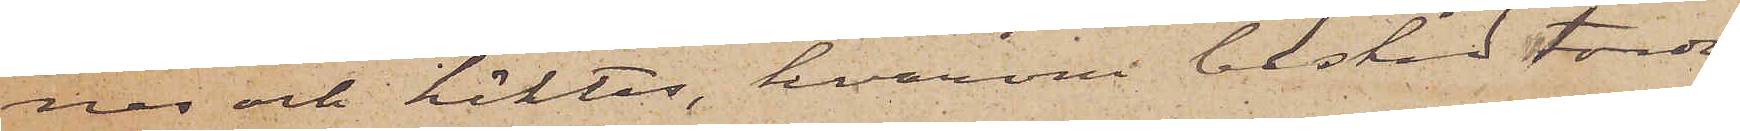nes och häktas, hvarom besked torde
